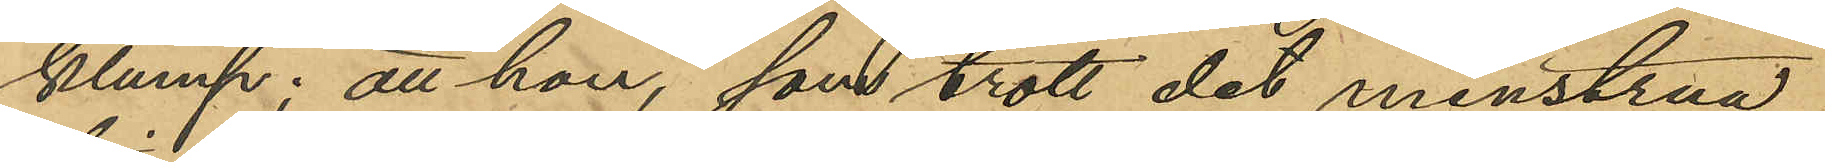klump; att hon, som trott det menstrua¬
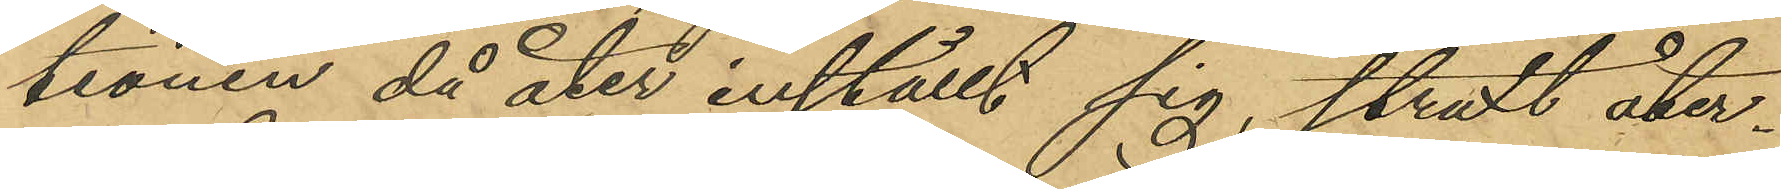tionen då åter inställt sig, straxt åter¬
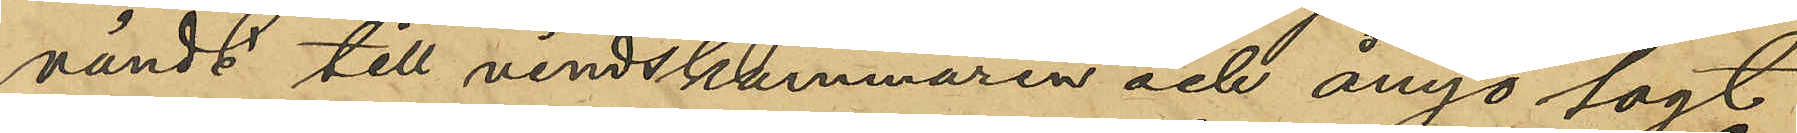vändt till vindskammaren och ånyo lagt
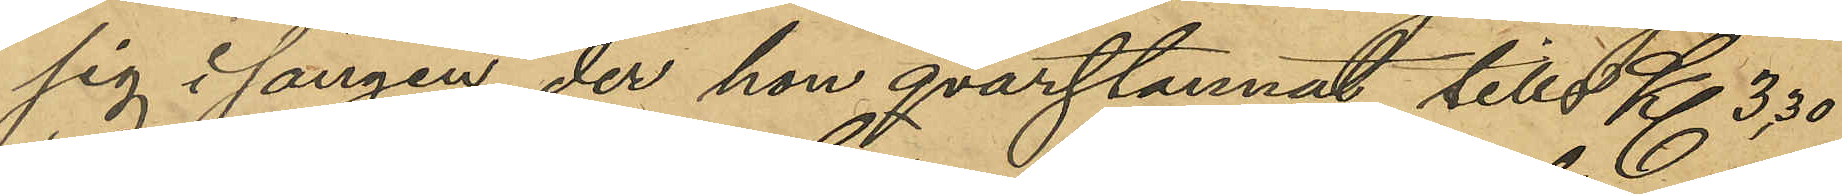sig i sängen, der hon qvarstannat tills kl 3.30
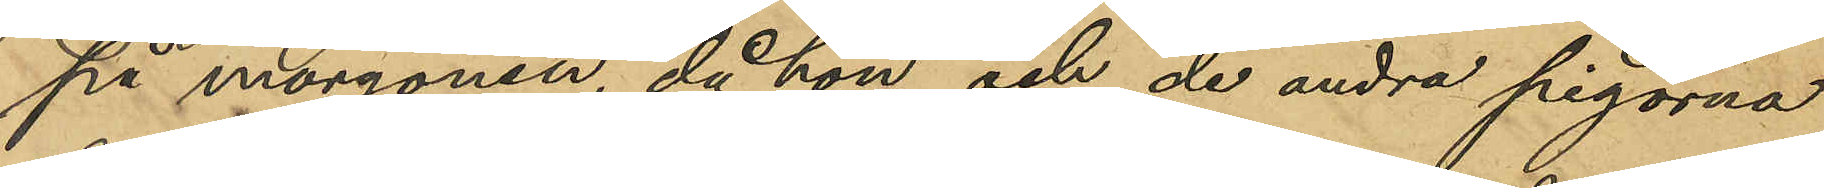på morgonen, då hon och de andra pigorna
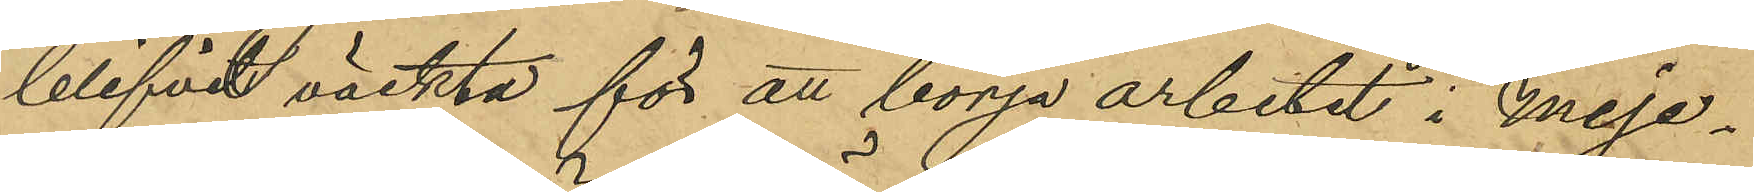blifvit väckta för att börja arbetet i Meje¬
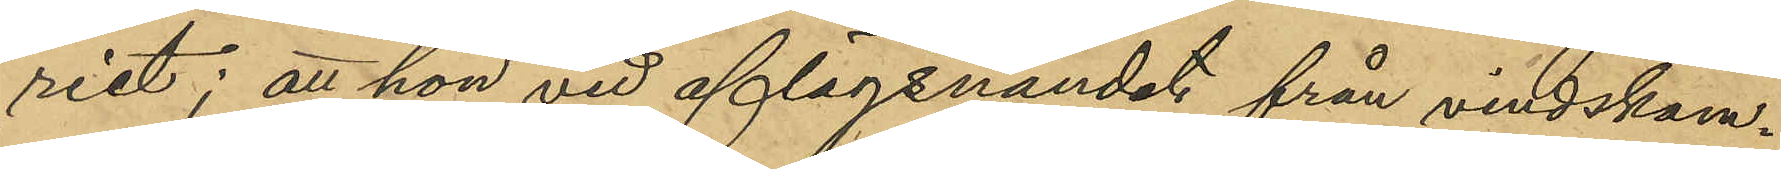riet; att hon vid aflägsnandet från vindskam¬
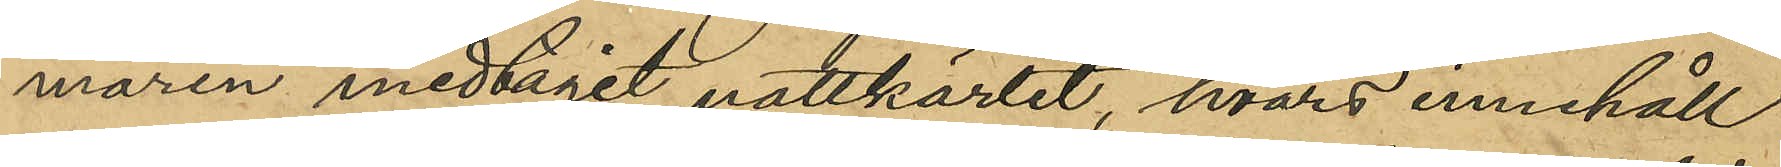maren medtagit nattkärlet, hvars innehåll
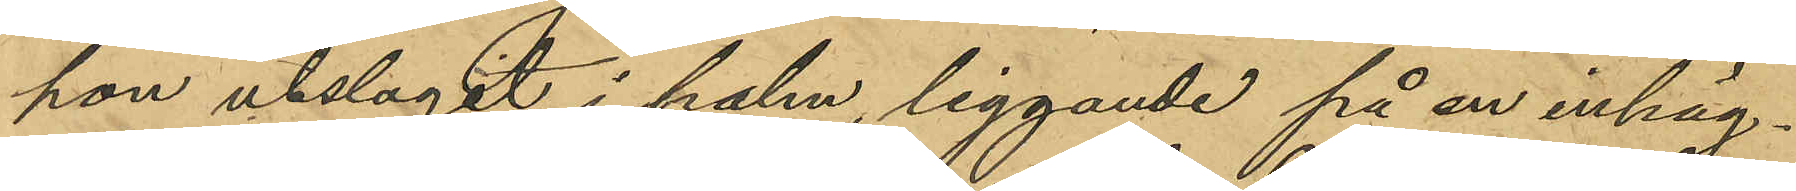hon utslagit i halm, liggande på en inhäg¬
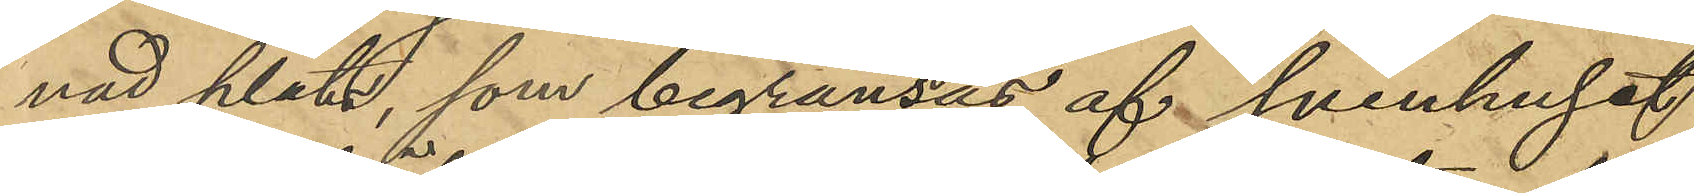nad plats, som begränsas af svinhuset
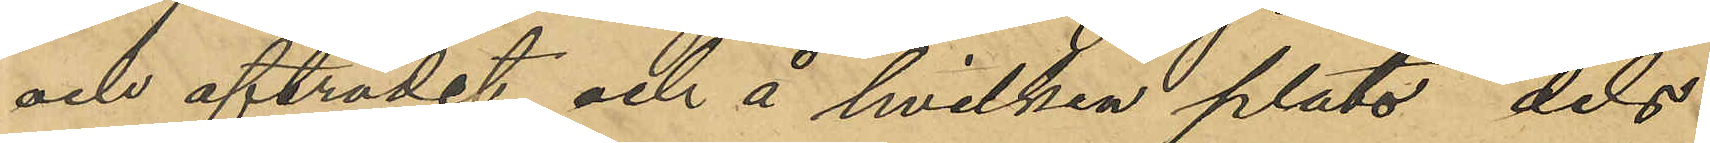och afträdet och å hvilken plats dels
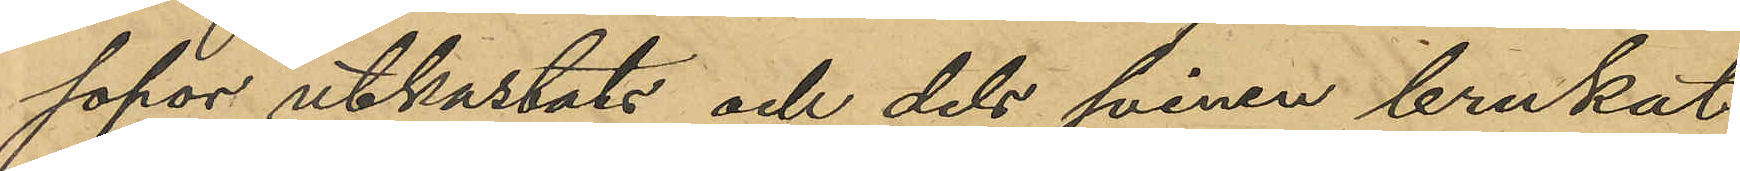sopor utkastats och dels svinen brukat
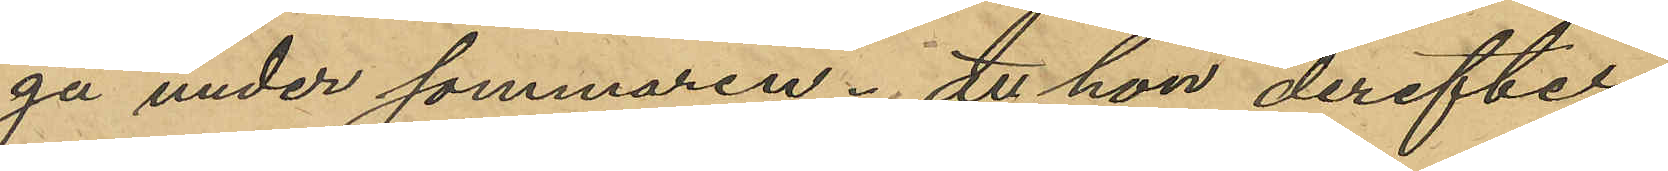gå under sommaren; att hon derefter,
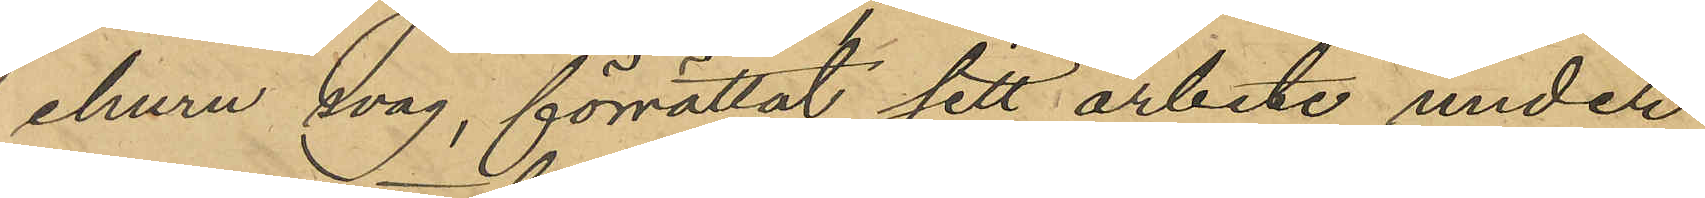ehuru svag, förrättat sitt arbete under
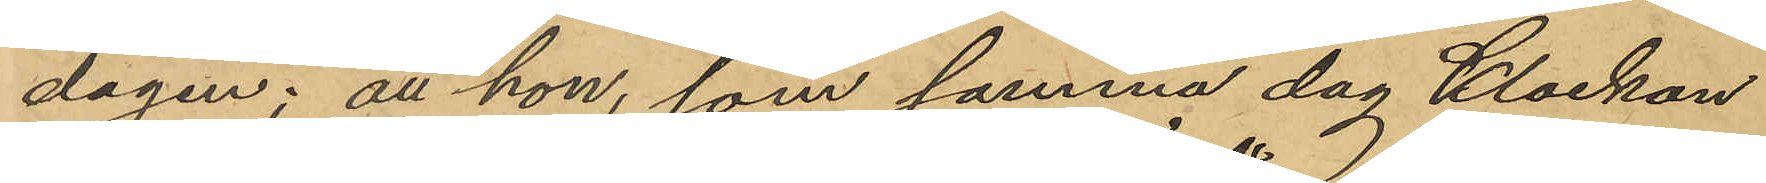dagen; att hon, som samma dag klockan
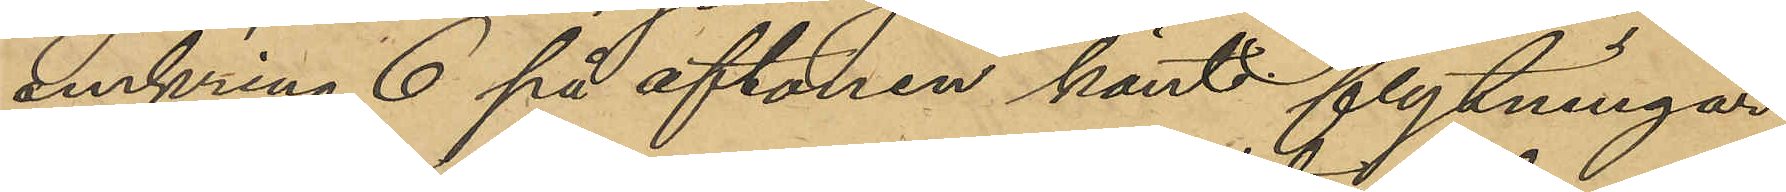omkring 6 på aftonen känt flytningar
